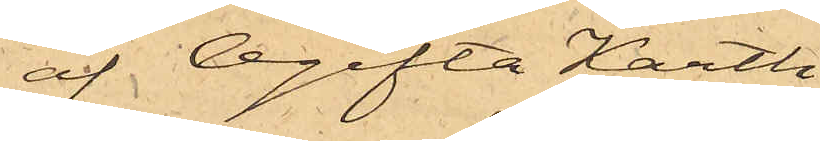af Ogifta Karth
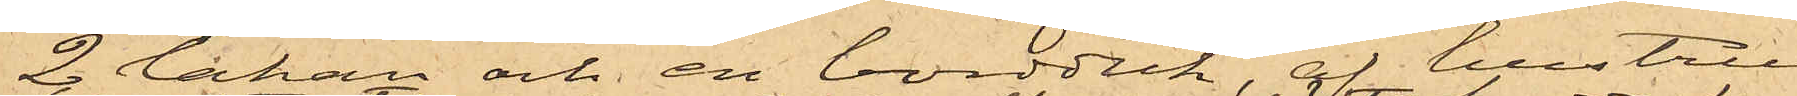2 lakan och en bordduk, af hustru
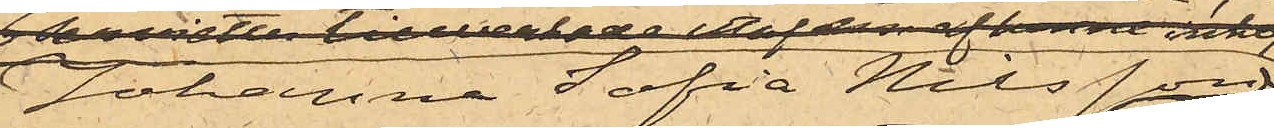Johanna Sofia Nilsson
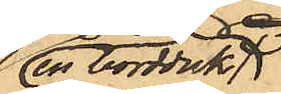en bordduk,
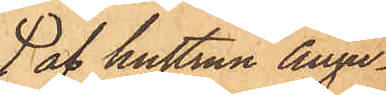 af hustrun Augu¬
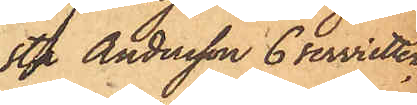sta Andersson 6 servietter,
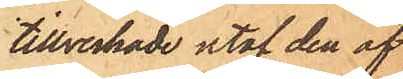tillverkade utaf den af
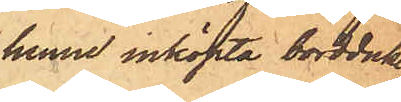henne inköpta bordduken,
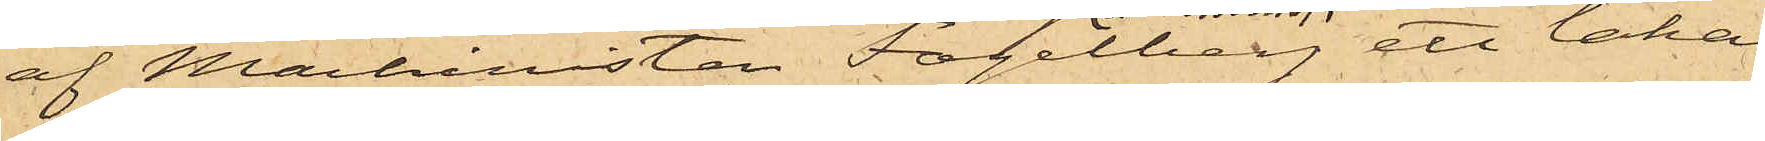af Machinisten Fogelberg ett lakan
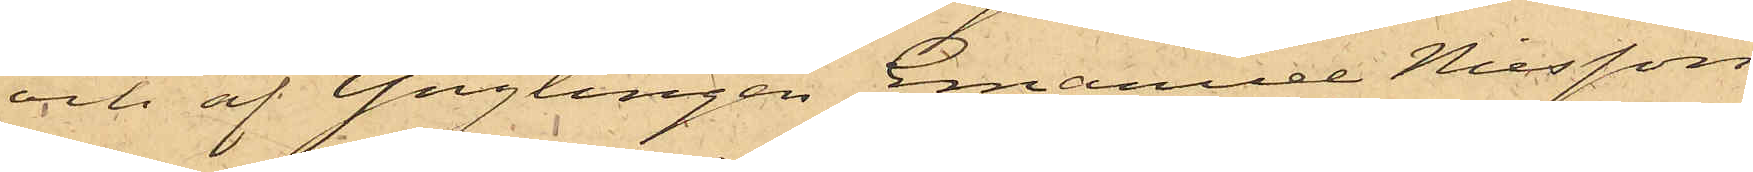och af Ynglingen Emanuel Nilsson
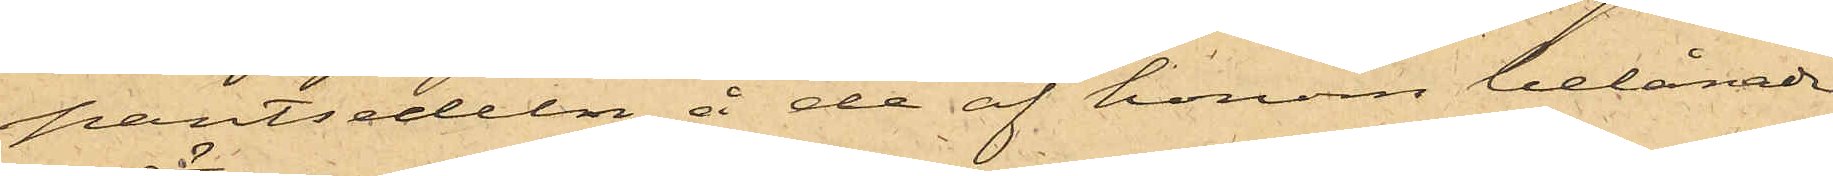pantsedeln å de af honom belånade
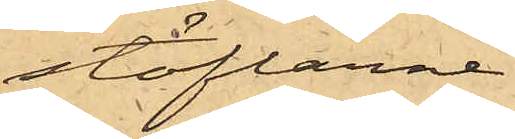stöflarne.
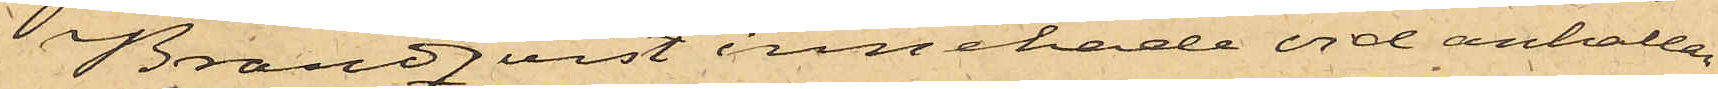Brandqvist innehade vid anhållan¬
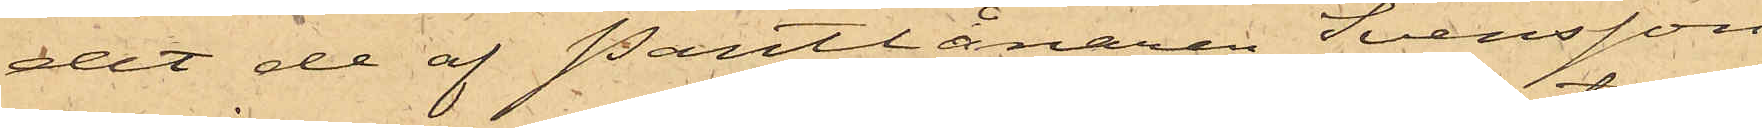det de af Pantlånaren Svensson
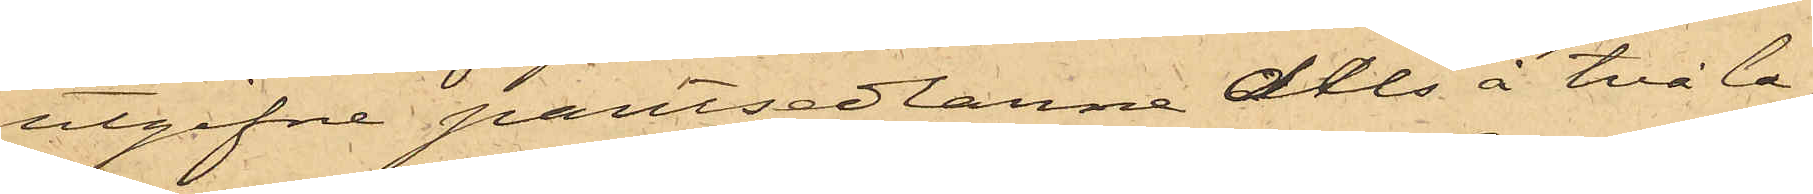utgifne pantsedlarne dels å två la¬
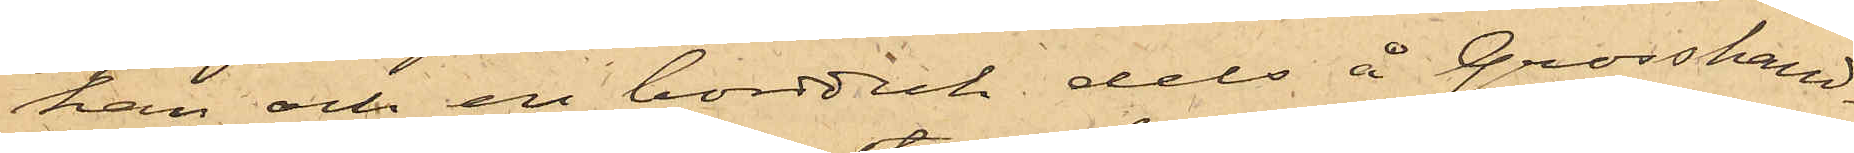kan och en bordduk dels å Grosshand¬
